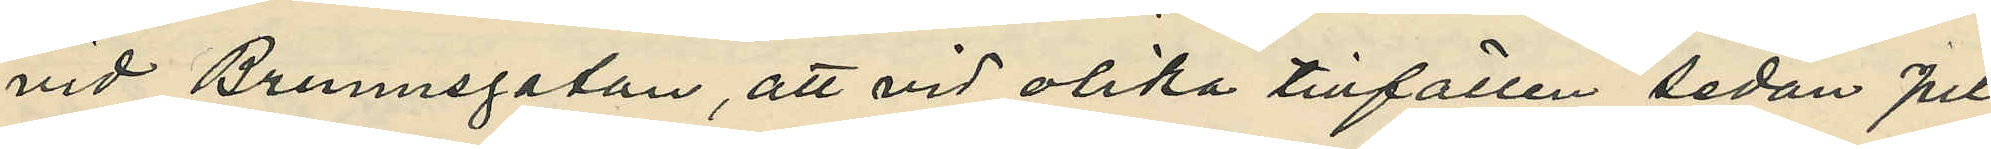vid Brunnsgatan, att vid olika tillfällen sedan Juli
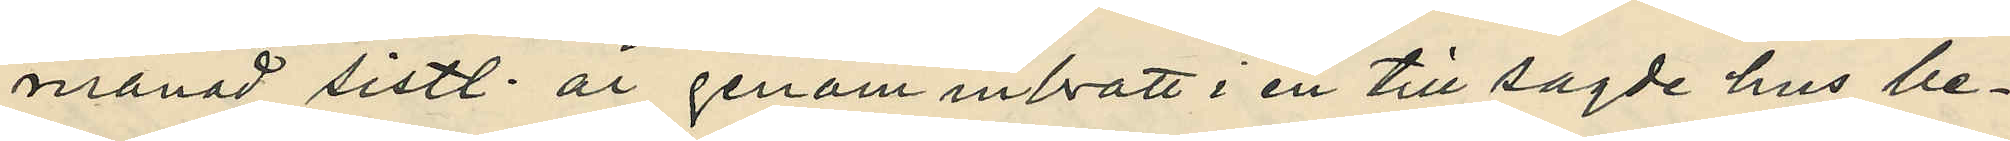månad sistl. år genom inbrott i en till sagde hus be¬
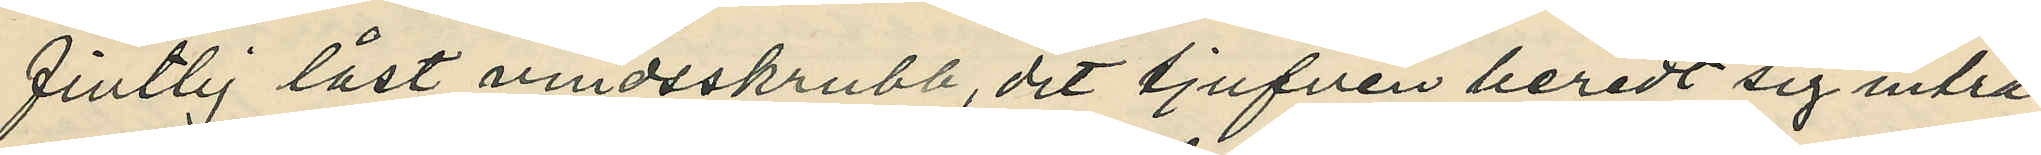fintlig låst vindsskrubb, dit tjufven beredt sig inträ¬
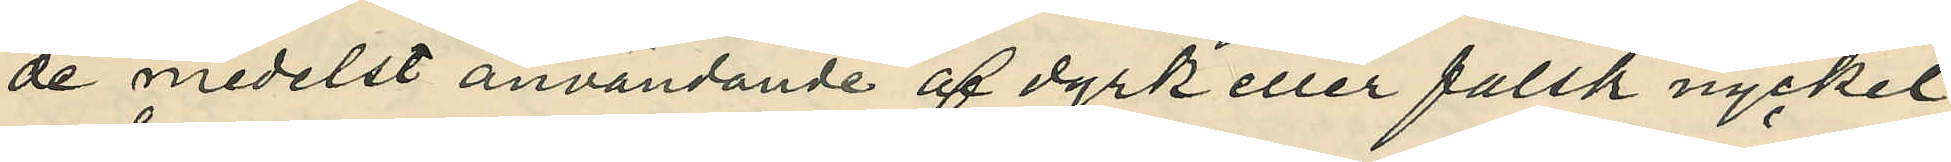de medelst användande af dyrk eller falsk nyckel,
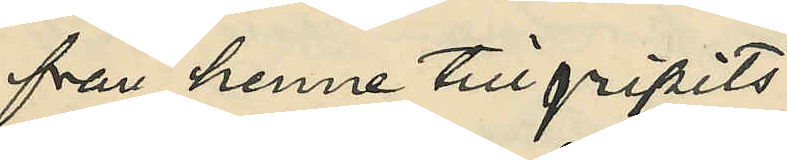från henne tillgripits:
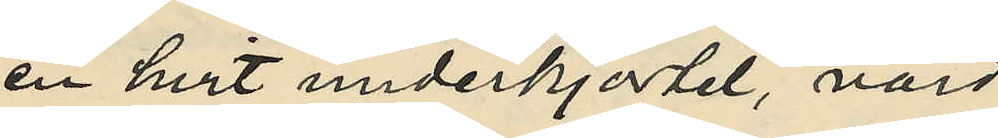en hvit underkjortel, värd
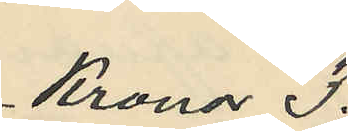Kronor 3:
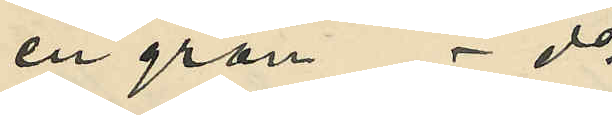en grön - do
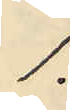1:
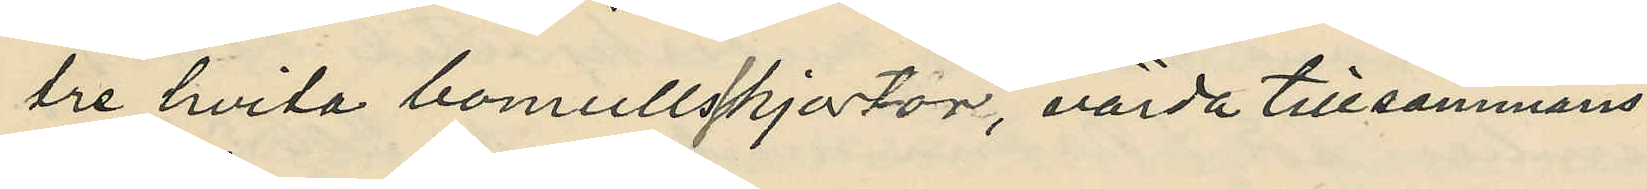tre hvita bomullsskjortor, värda tillsammans
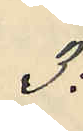3:
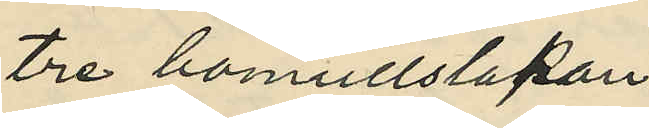tre bomullslakan
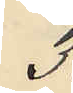3:
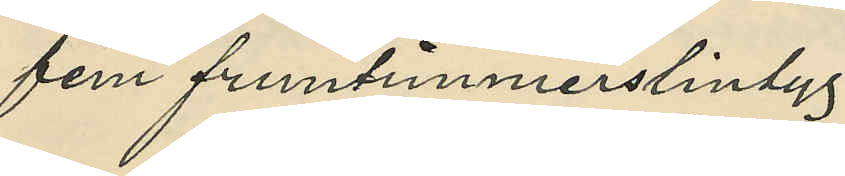fem fruntimmerslintyg
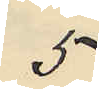5
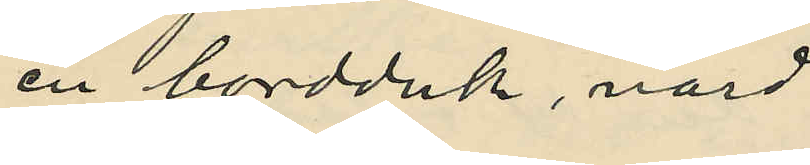en bordduk, värd
